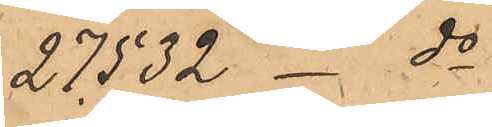27532 _ do
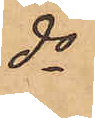do
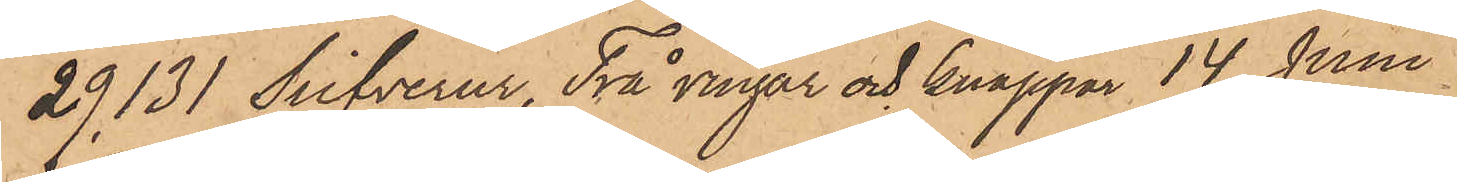29131 Silfverur, Två ringar och knappar 14 Juni
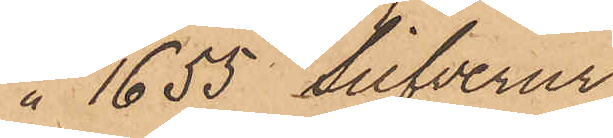1655 Silfverur
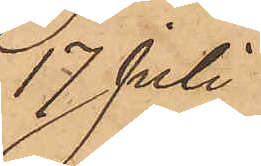17 Juli
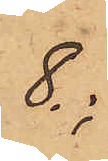8.
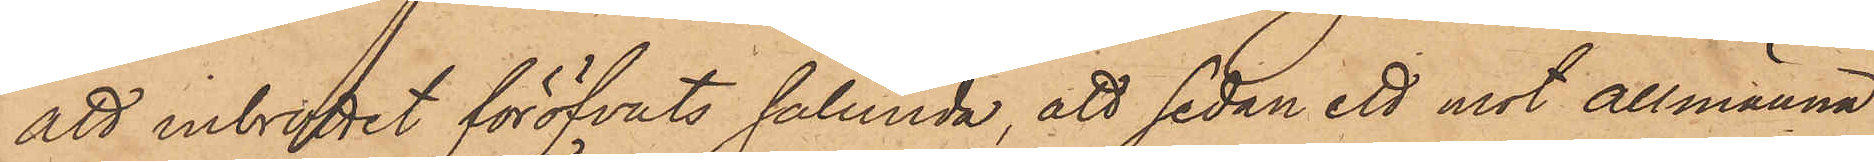att inbrottet föröfvats sålunda, att sedan ett mot Allmänna
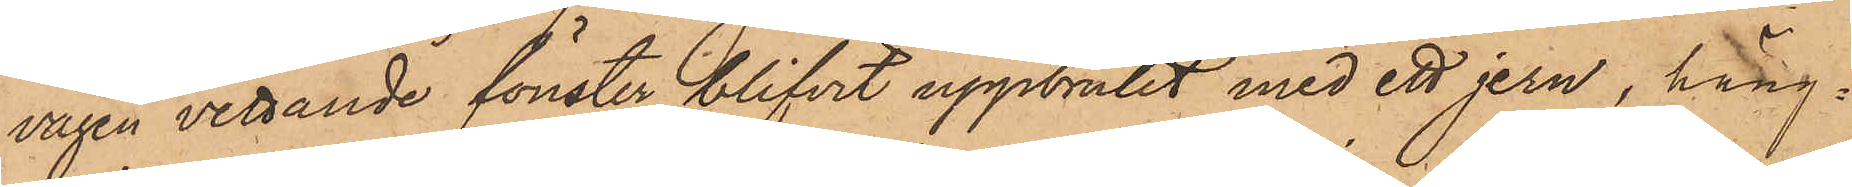vägen vettande fönster blifvit uppbrutit med ett jern, häng¬
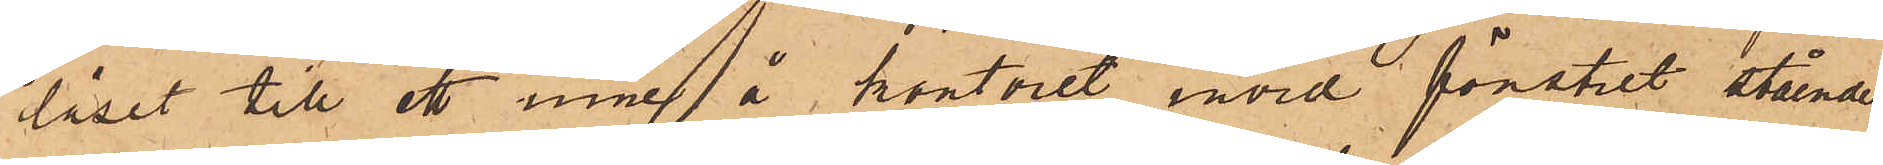låset till ett inne å kontoret invid fönstret stående
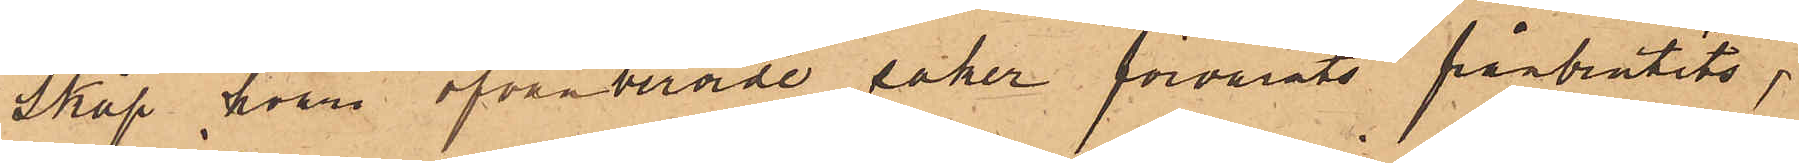skåp, hvar ofvanberörde saker förvarats frånbrutits,
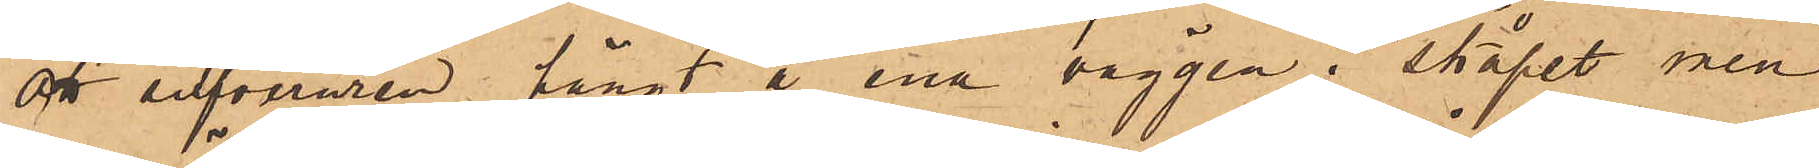att silfveruren hängt å ena väggen i skåpet men
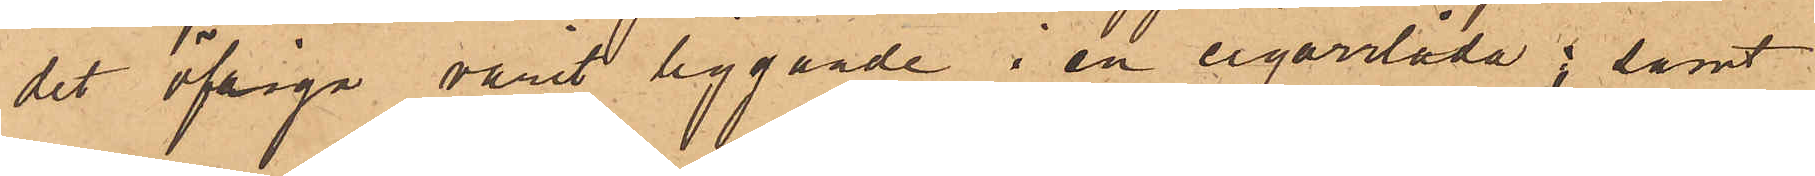det öfriga varit liggande i en cigarrlåda; samt
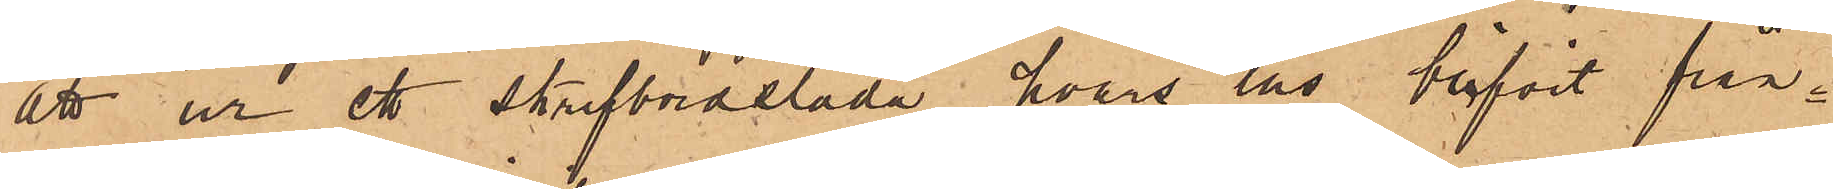att ur ett  skrifbordslåda hvars lås blifvit från¬
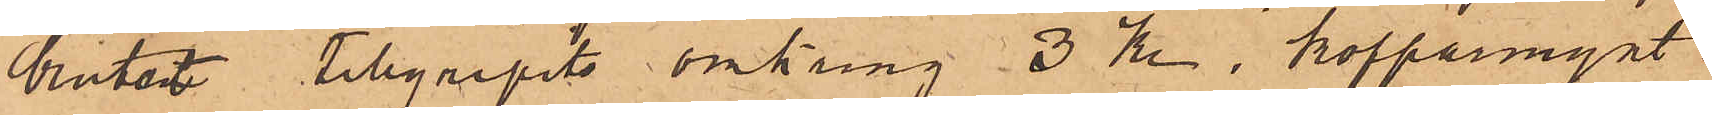brutet tillgripits omkring 3 kr. kopparmynt.
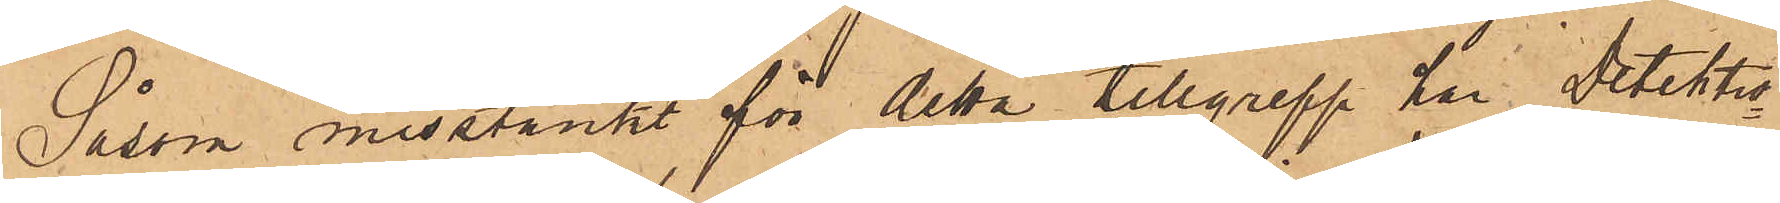Såsom misstänkt för detta tillgrepp har Detektiv¬
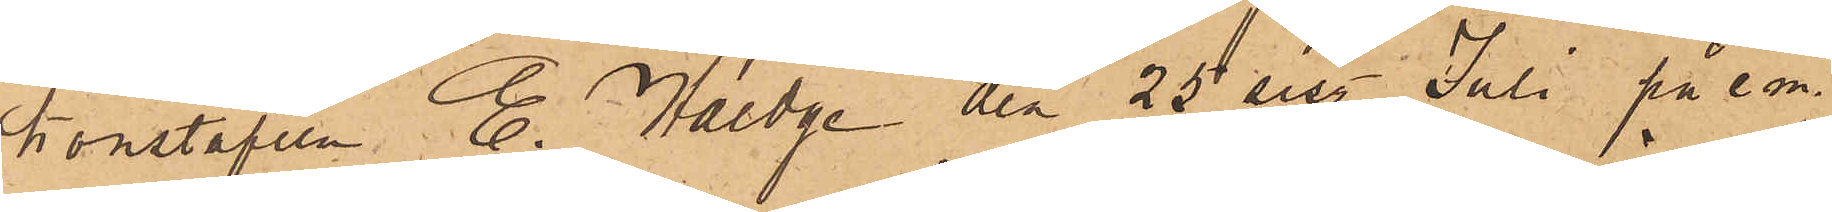konstapeln E. Haedge den 25 sist. Juli på e.m.
